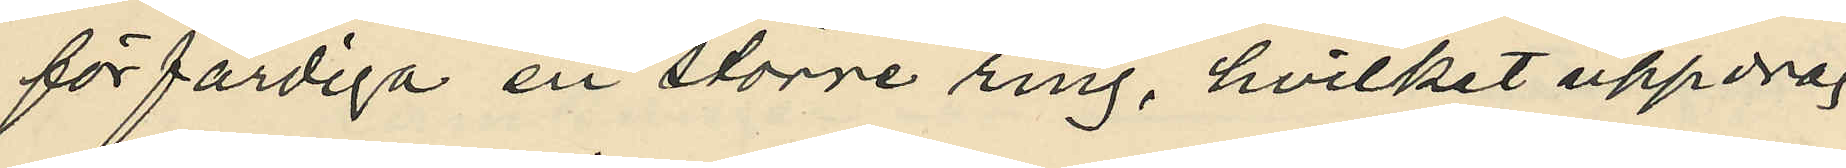förfärdiga en större ring, hvilket uppdrag
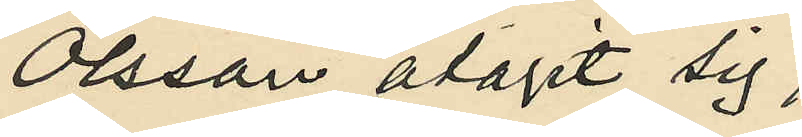Olsson åtagit sig;
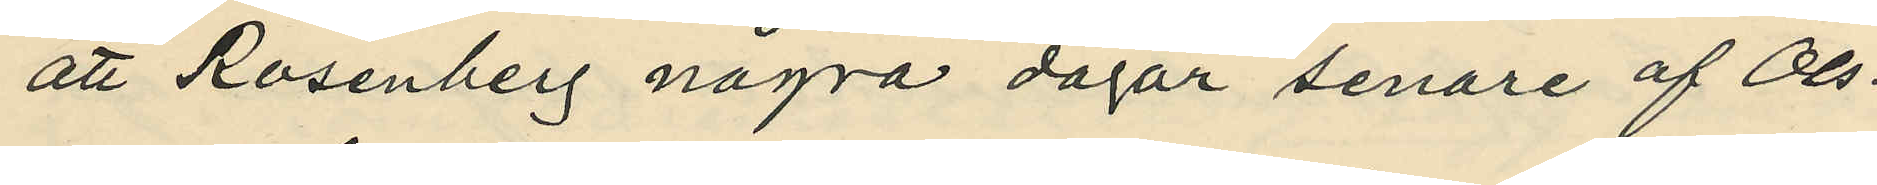att Rosenberg några dagar senare af Ols¬
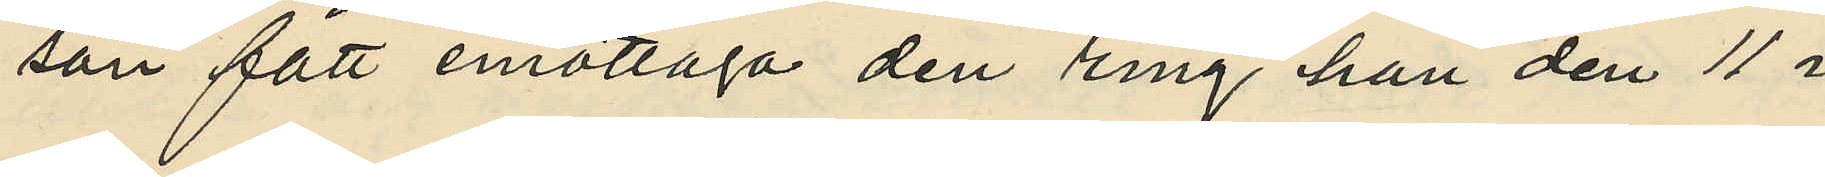son fått emottaga den ring han den 11 i
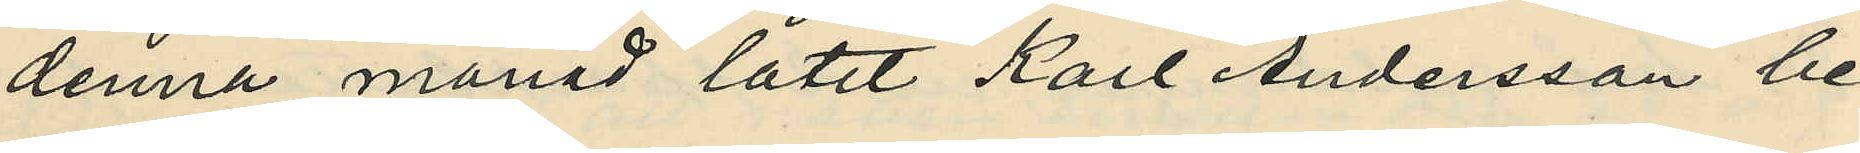denna månad låtit Karl Andersson be¬
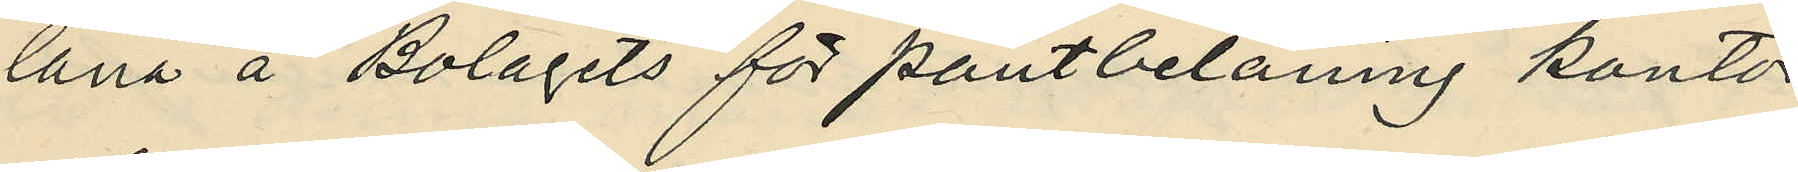låna å Bolagets för pantbelåning kontor,
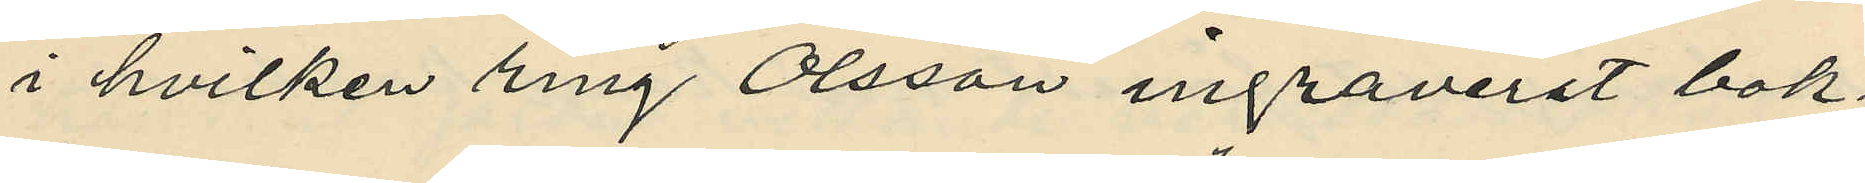i hvilken ring Olsson ingraverat bok¬
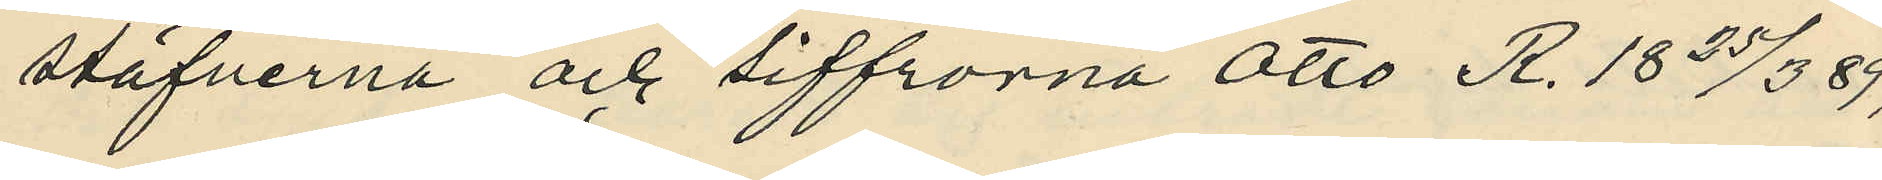stäfverna och siffrorna "Otto R. 18 25/3 89";
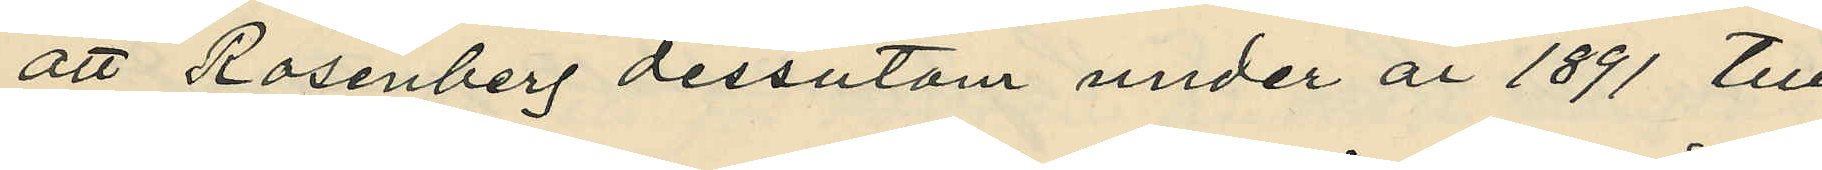att Rosenberg dessutom under år 1891 till
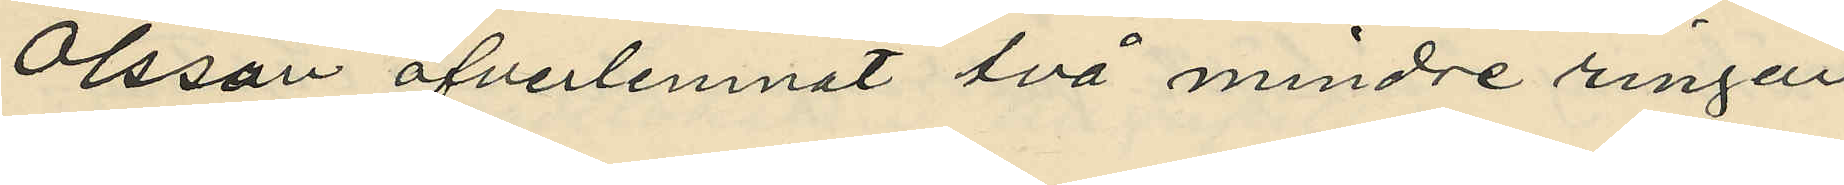Olsson öfverlemnat två mindre ringar
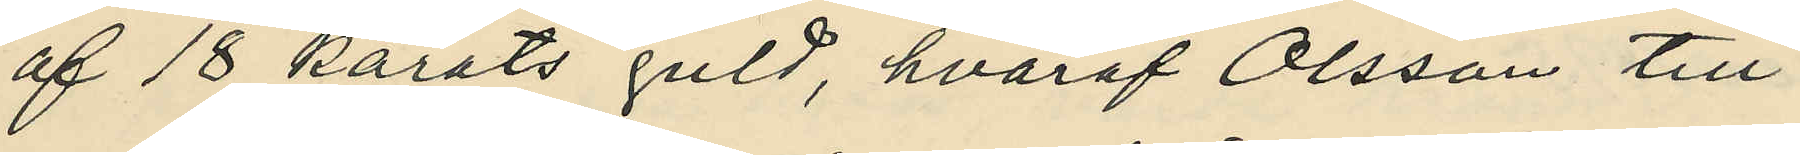af 18 karats guld, hvaraf Olsson till¬
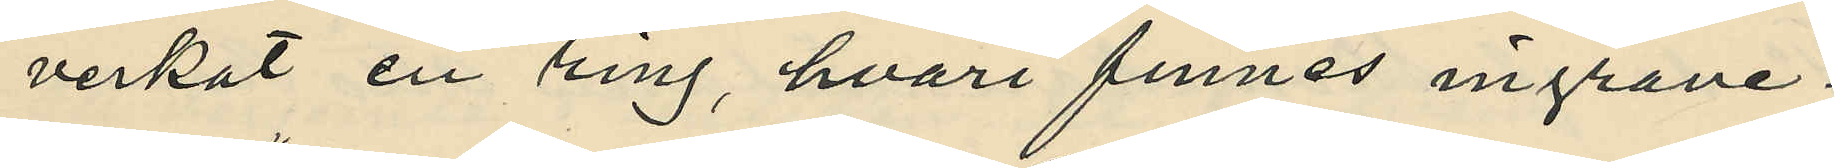verkat en ring, hvari finnes ingrave¬
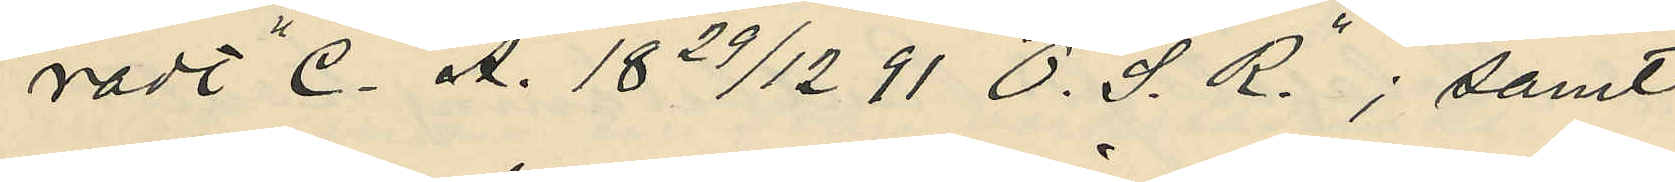radt "C. A. 18 29/12 91 O. S. R".; samt
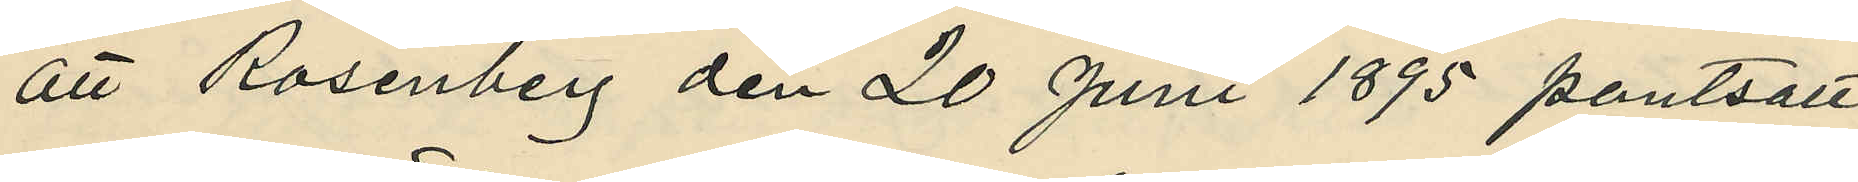att Rosenberg den 20 Juni 1895 pantsatt
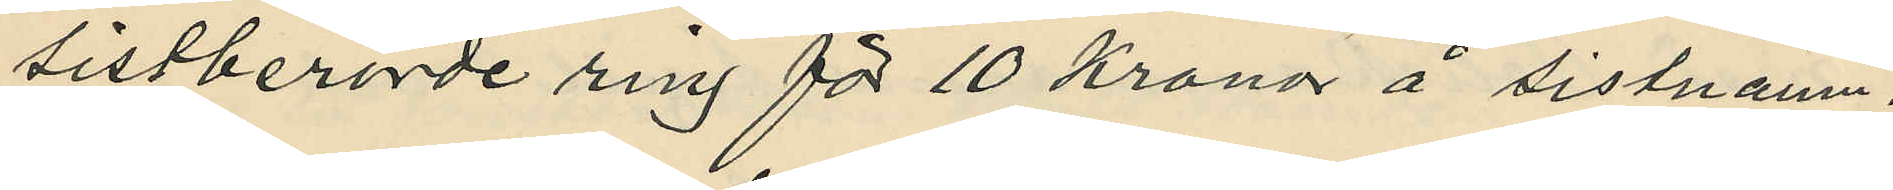sistberörde ring för 10 kronor å sistnämn¬
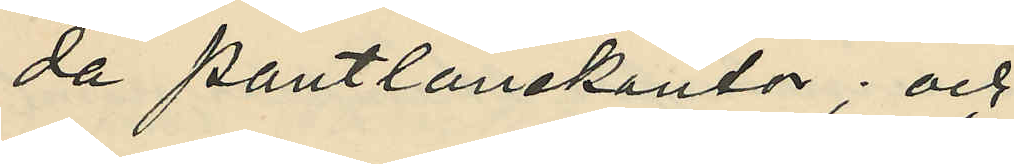da pantlånekontor; och
